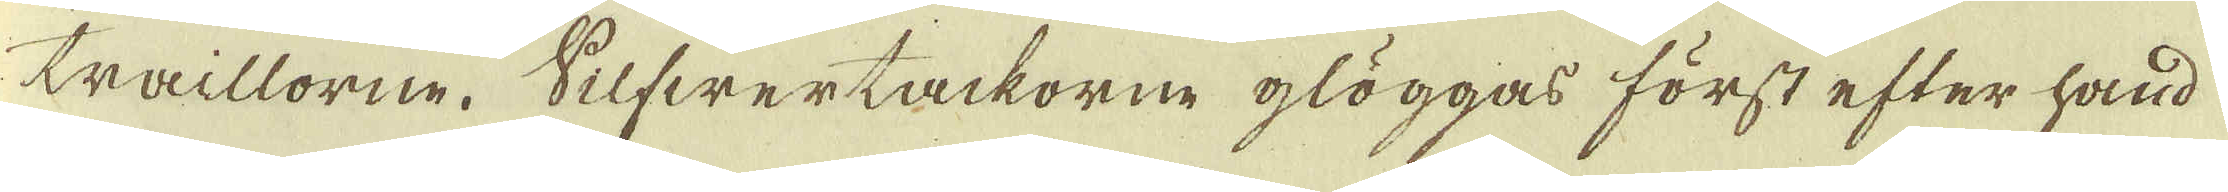tillorne. Silfwertackorne glöggas först efter hand
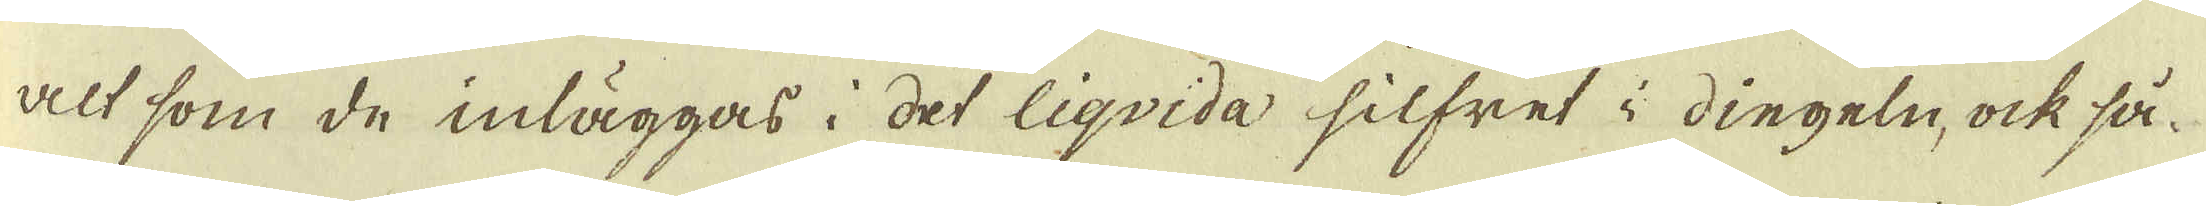alt som de inläggas i det liqvida silfret i dingeln, ock så
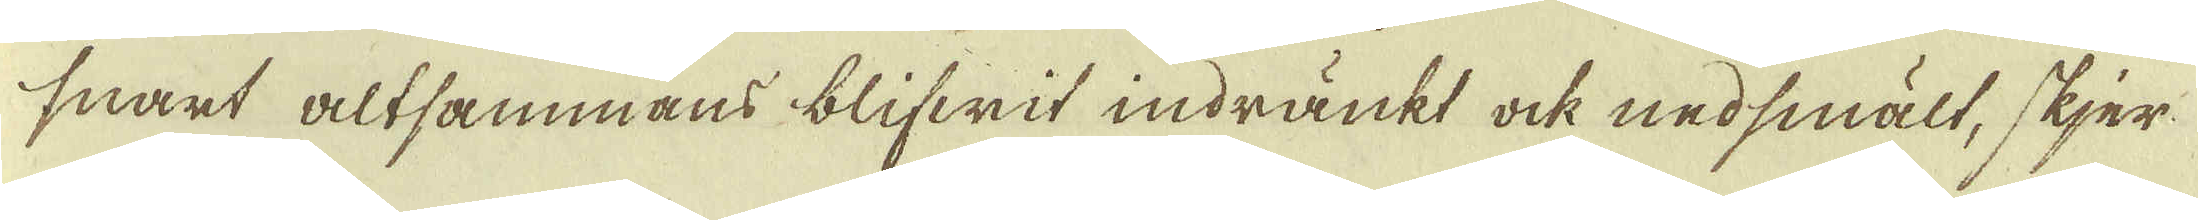snart altsammans blifwit indränkt ock nedsmält, skjer
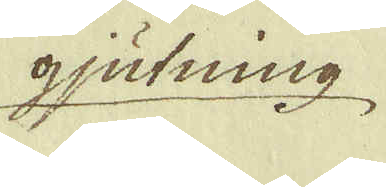gjutning
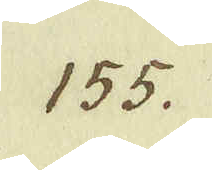155.
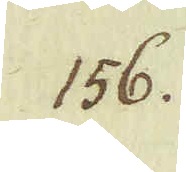156.
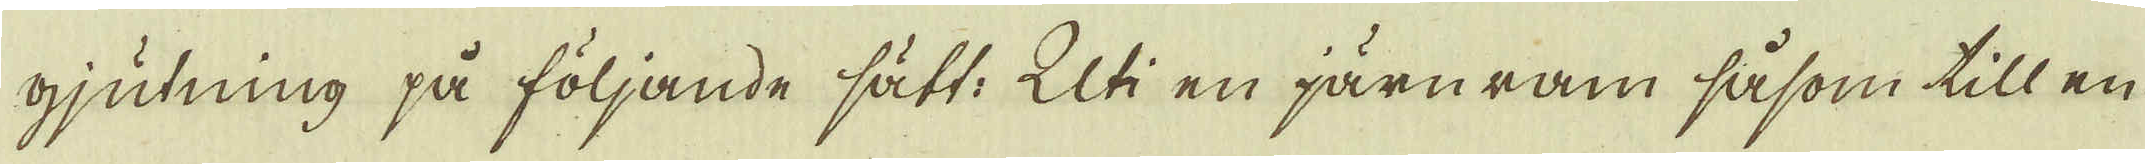gjutning på följande sätt. Uti en järnram såsom till en
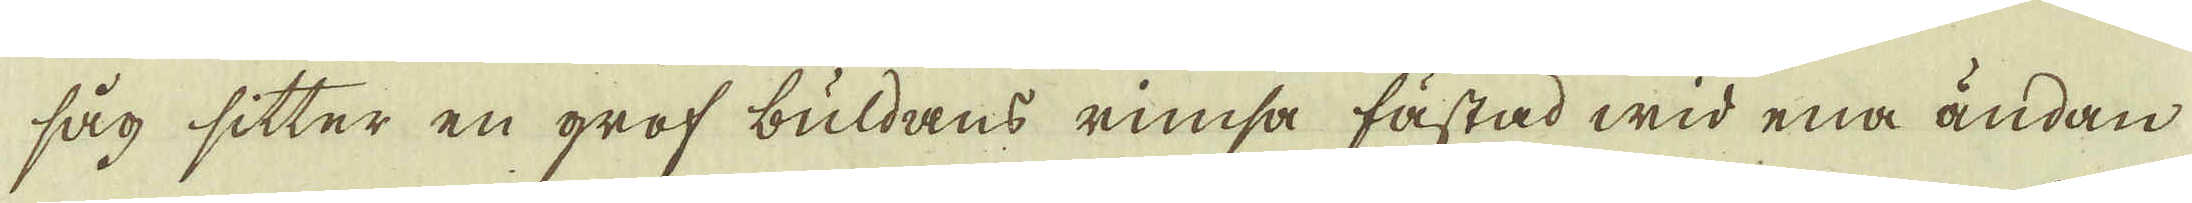såg sitter en grof buldans rimsa fästad wid ena ändan
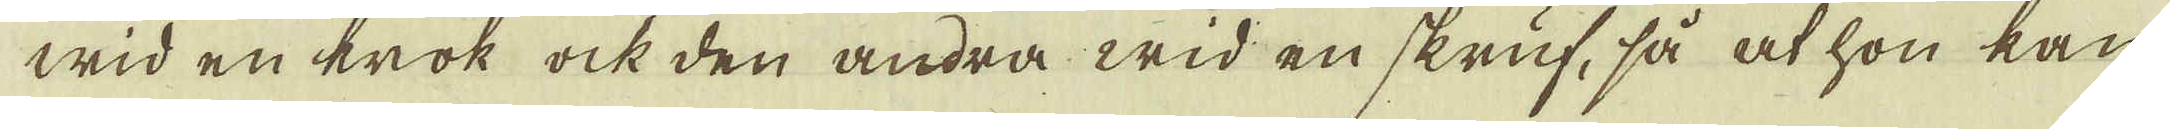wid en krok ock den andra wid en skruf, så at hon kan
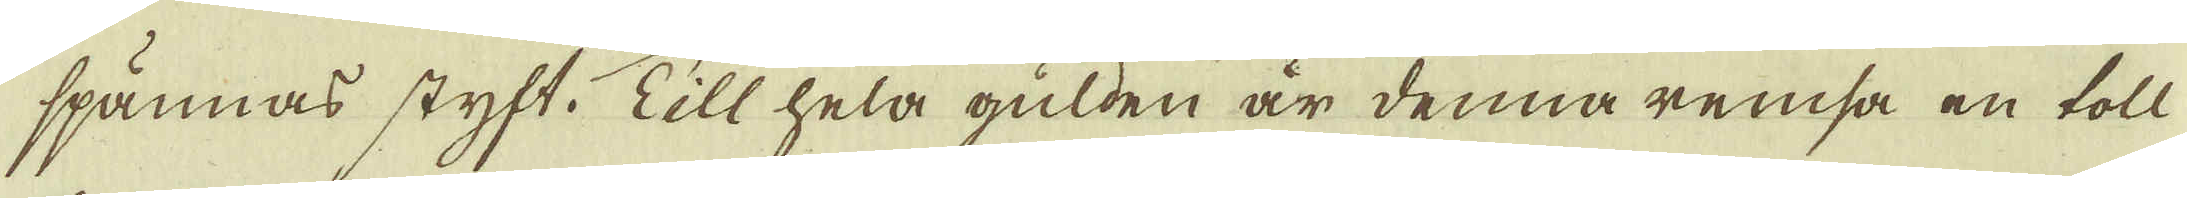spännas styft. Till hela gulden är denna remsa en toll
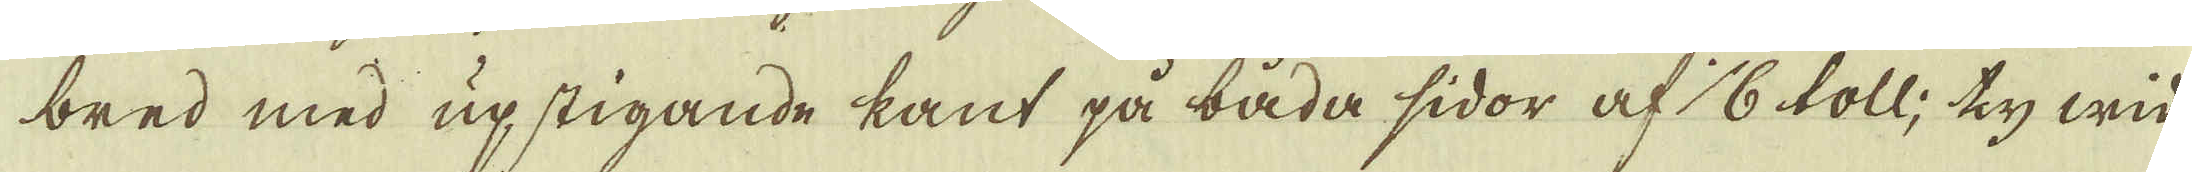bred med upstigande kant på båda sidor af 1/6 toll; ty wid
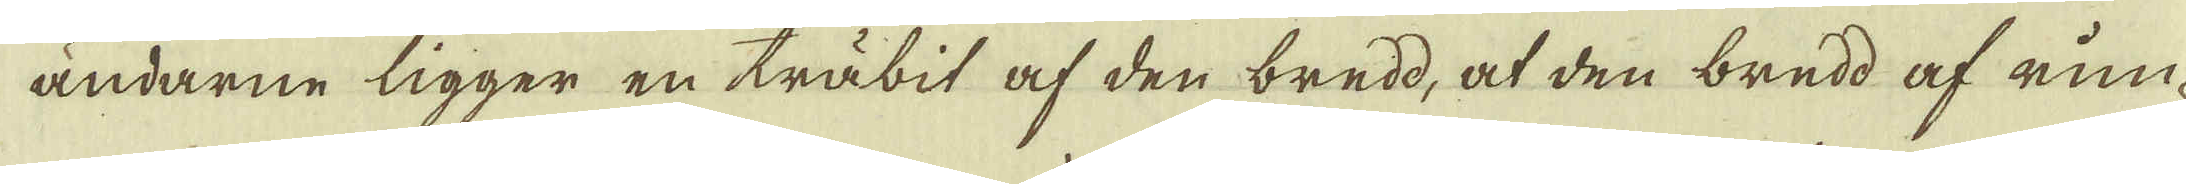ändarne ligger en träbit af den bredd, at den bredd af rim-
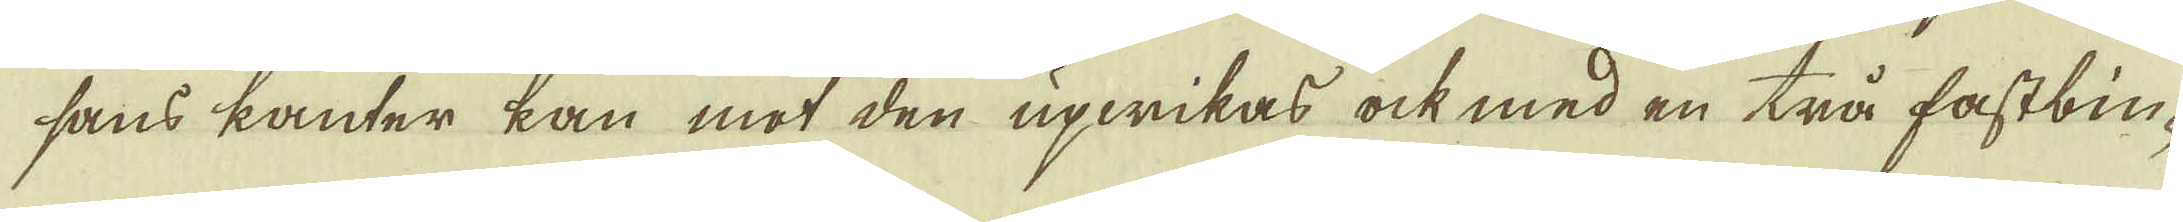sans kanter kan mot den upwikas ock med en trå fastbin-
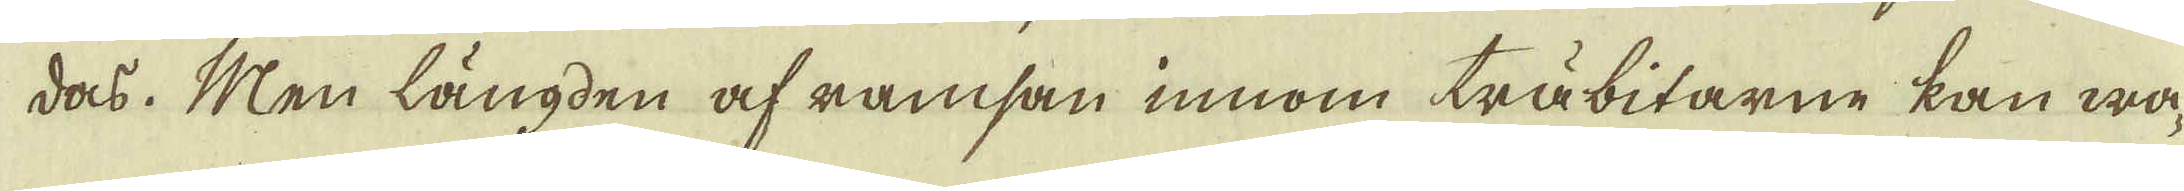das. Men längden af ramsan innom träbitarne kan wa-
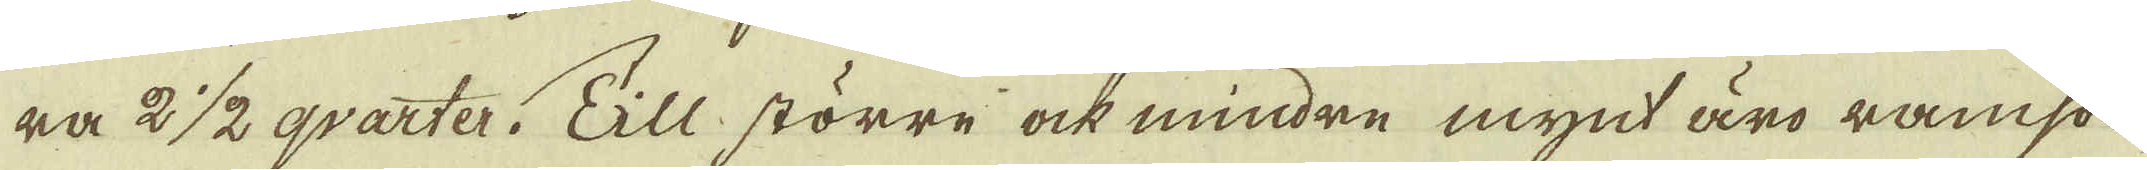ra 2 1/2 qvarter: Till större ock mindre mynt äro ramson
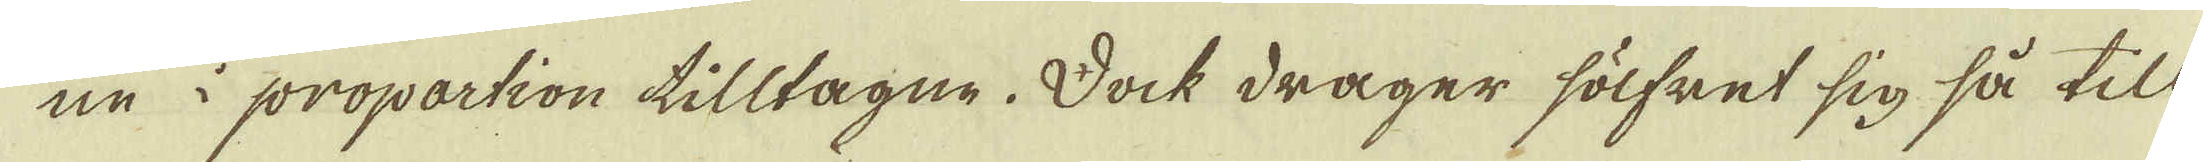ne i propartion tilltagne. Dock drager sölfret sig så till
